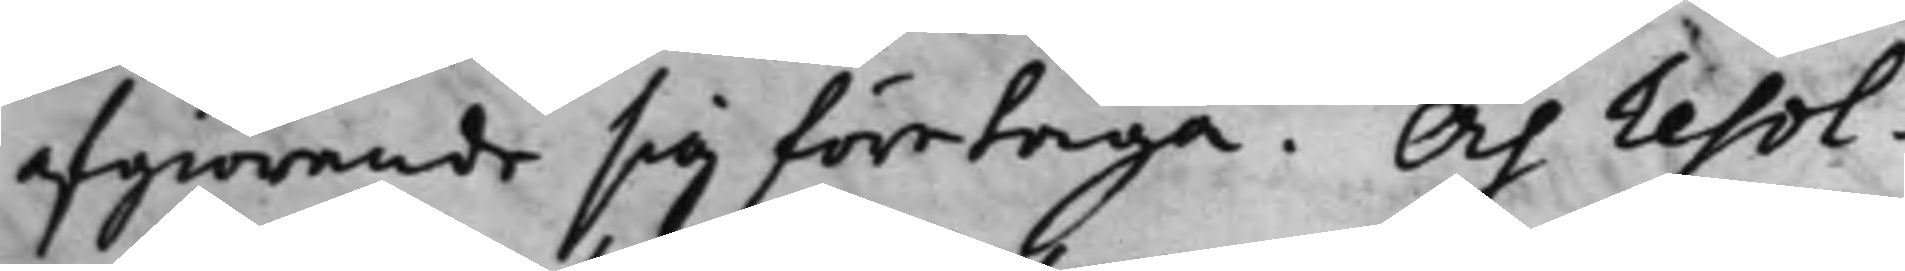afgiörande sig företaga. Och resol¬
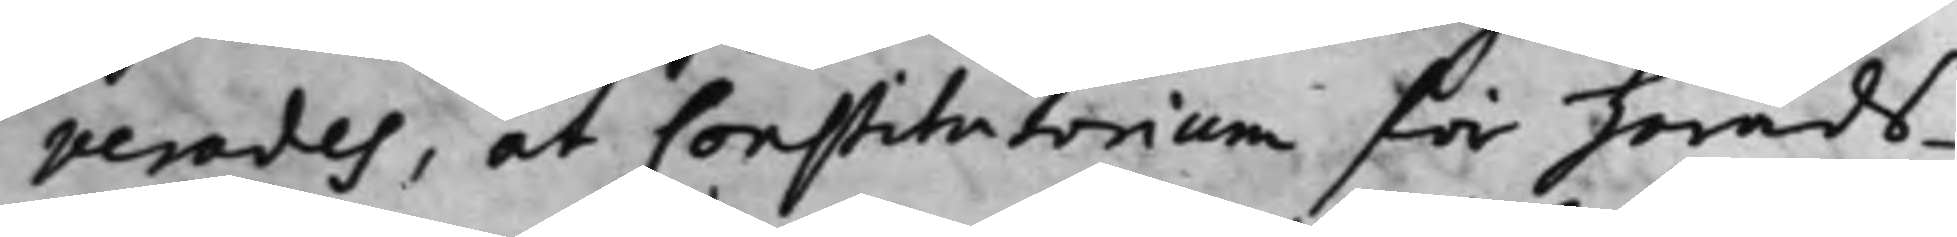verades, at Constitutorium för härads¬
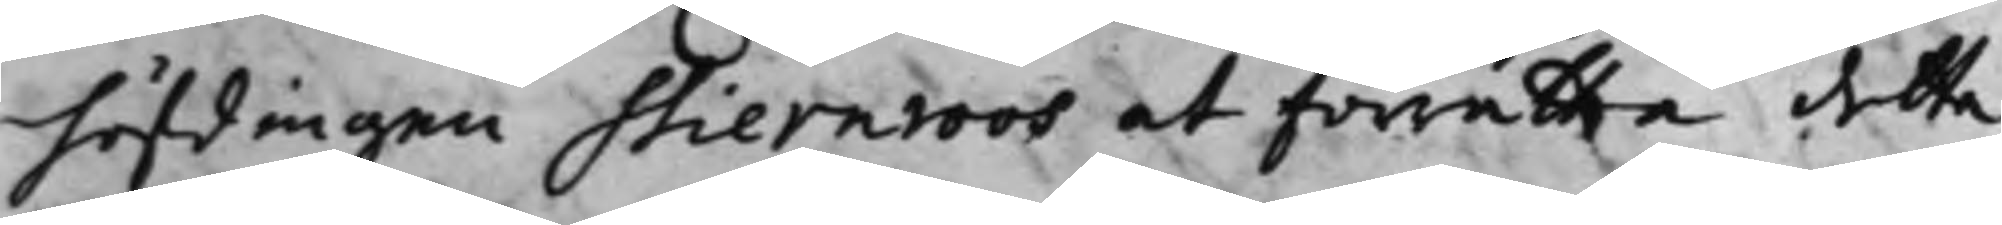höfdingen Stiernroos at förrätta detta
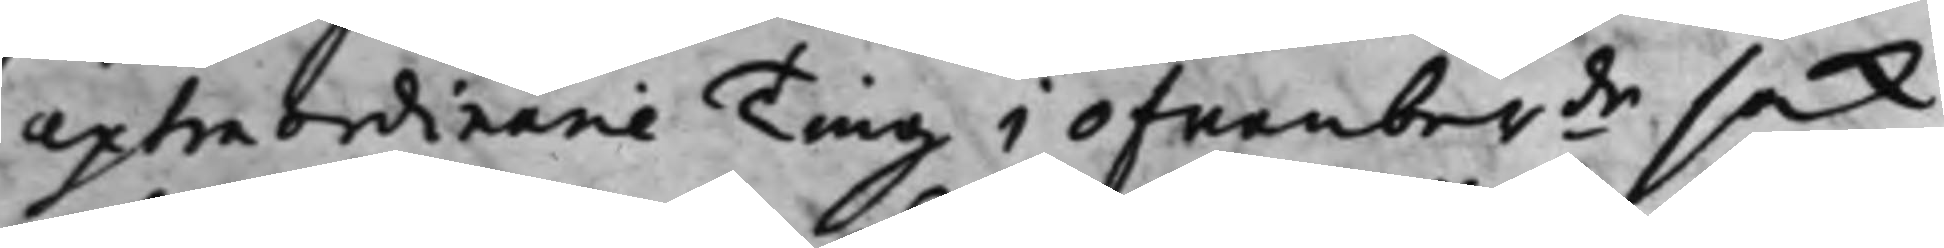extraordinarie Ting i ofwanber.de sak,
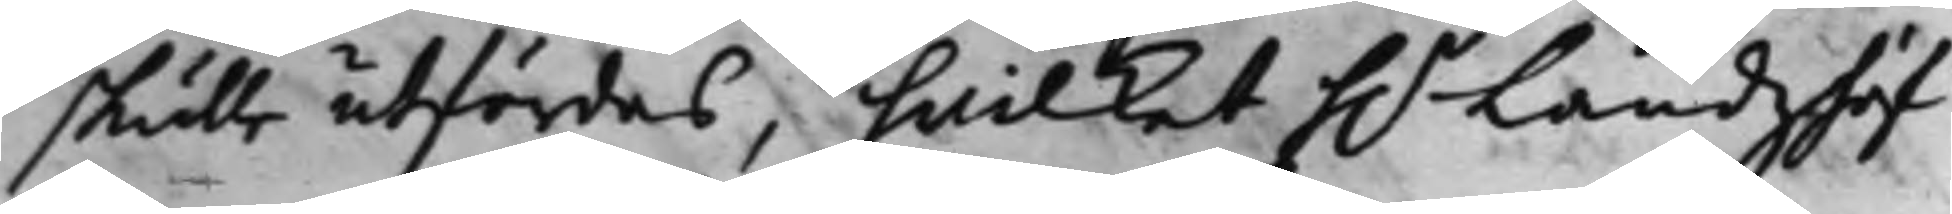skulle utfärdas, hwilket h.r Landzhöf¬
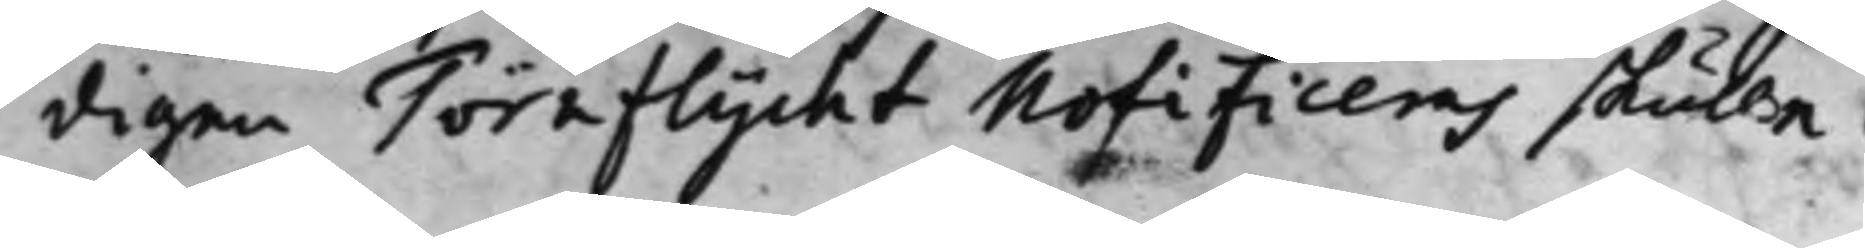digen Töraflycht Nofificeras skulle.
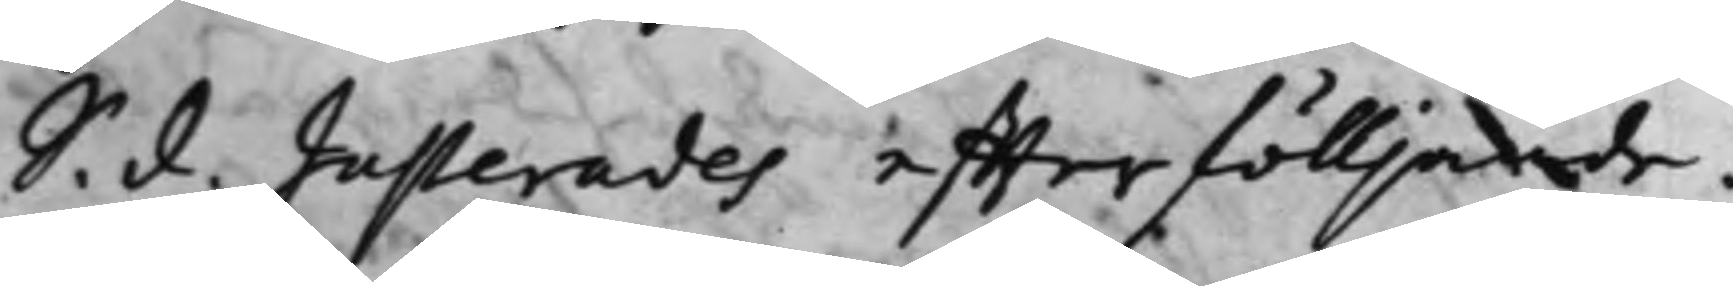S. d. Justerades effterfölljande:
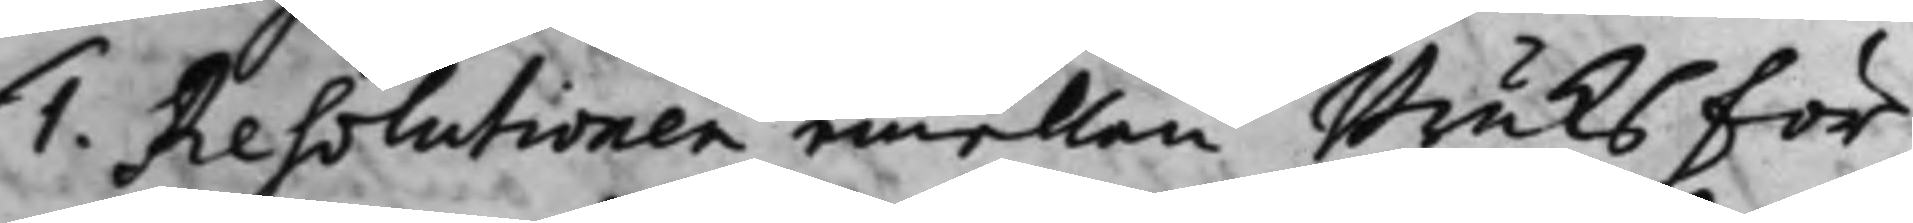1. Resolutionen emellan Bruks För¬ 
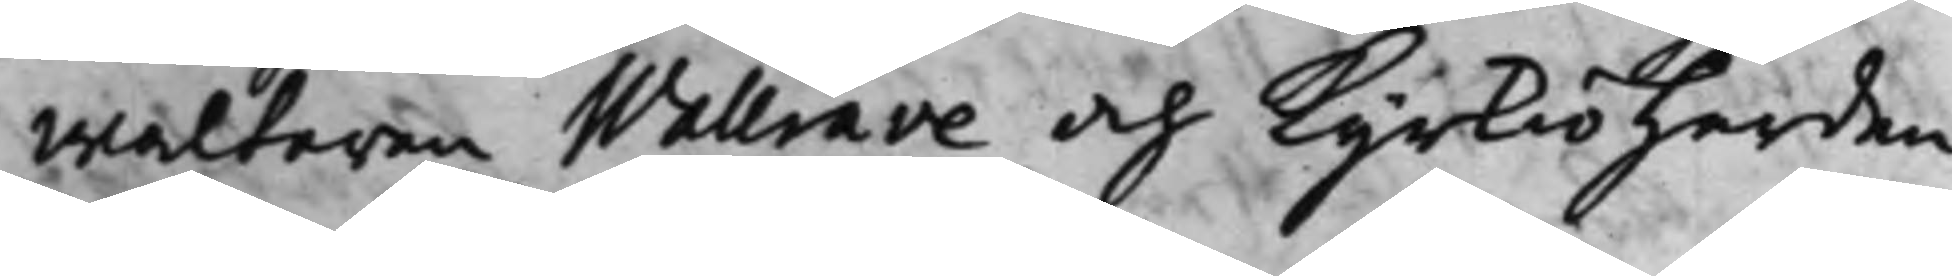waltaren Wallrave och Kyrkioherden
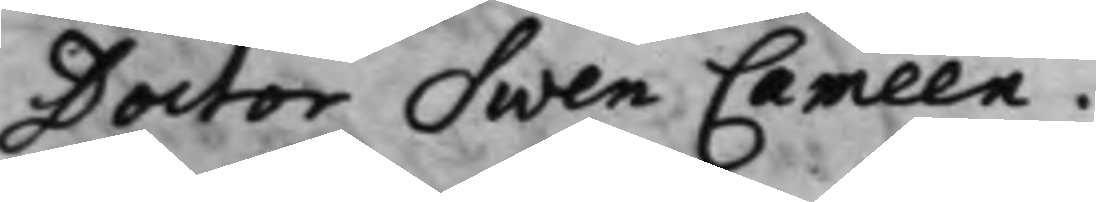Doctor Swen Cameen.
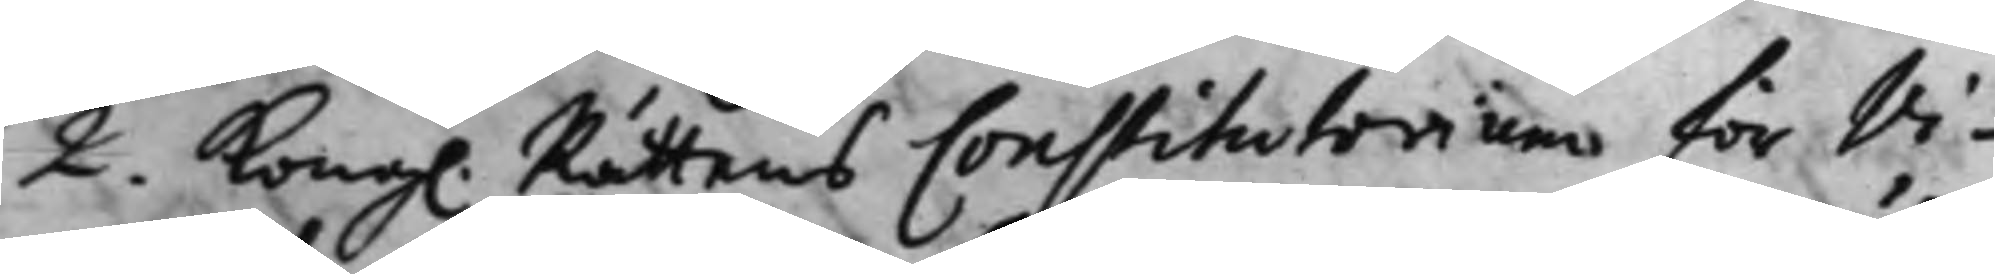2. Kong. Rättens Constitutorium för Vi¬
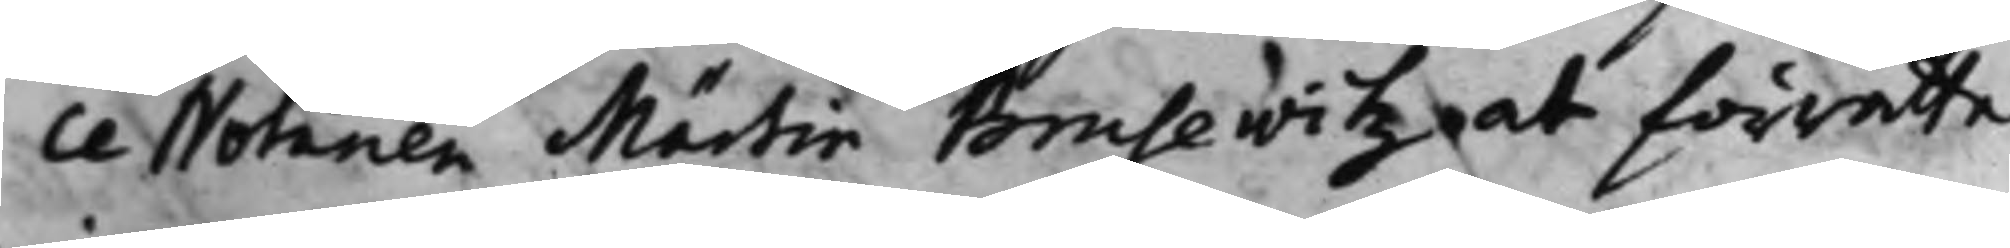ce Notarien Märtin Brusewitz at förrätte
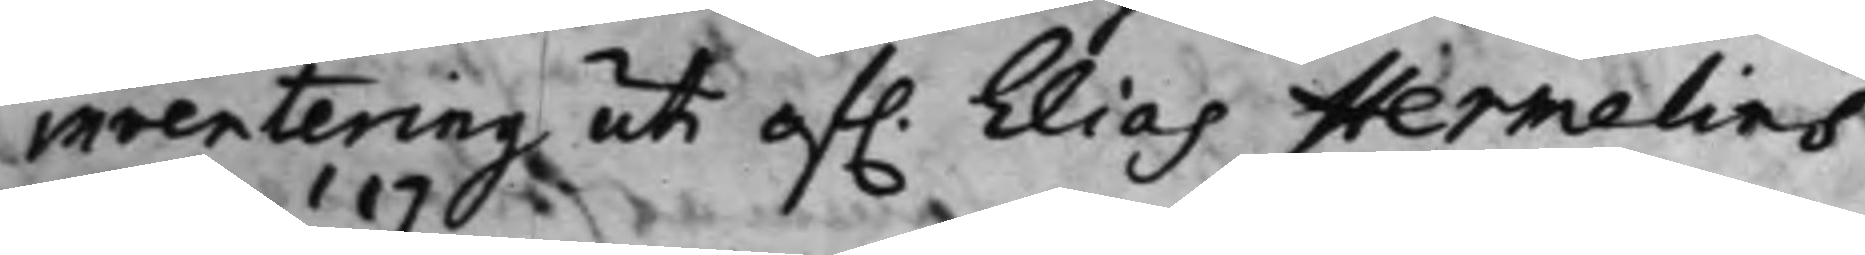inventering uti af. Elias Hermelins
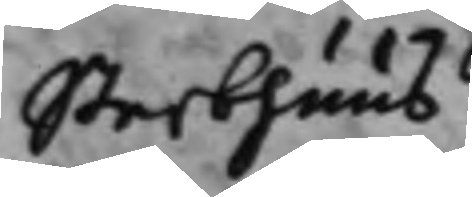Sterbhuus.
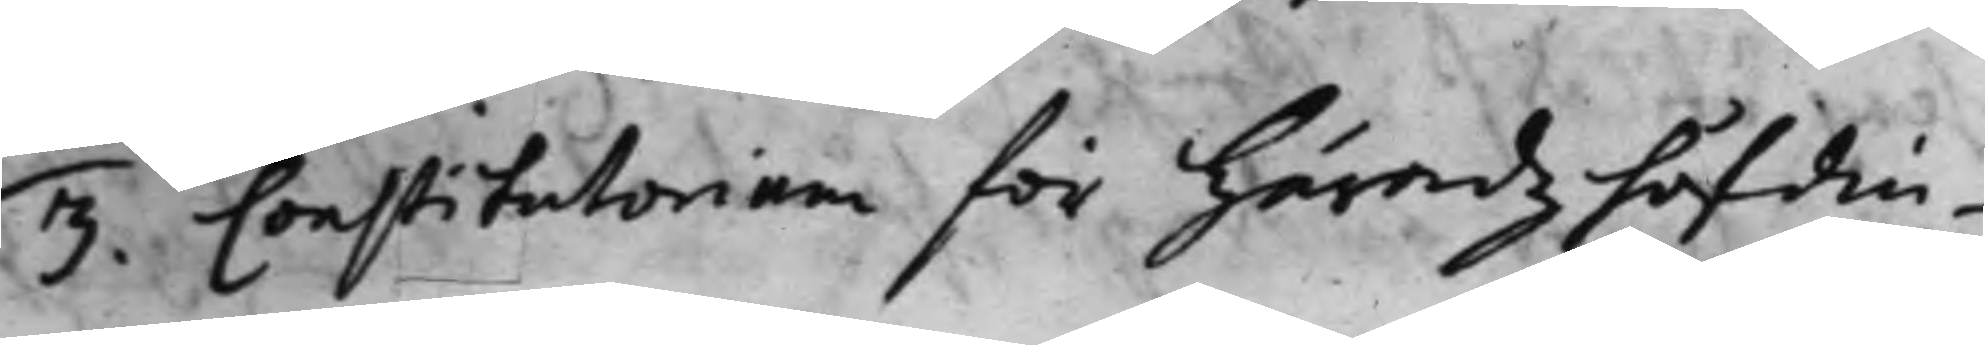3. Constitutorium för Häradz höfdin¬ 
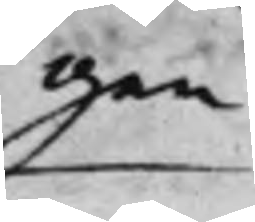gen
